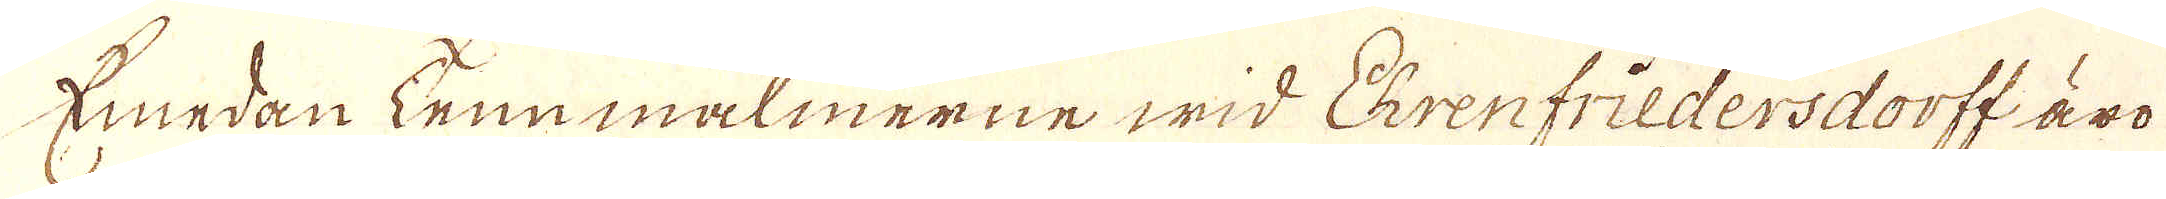Emedan tenmalmerne wid Ehrenfriedersdorff äro
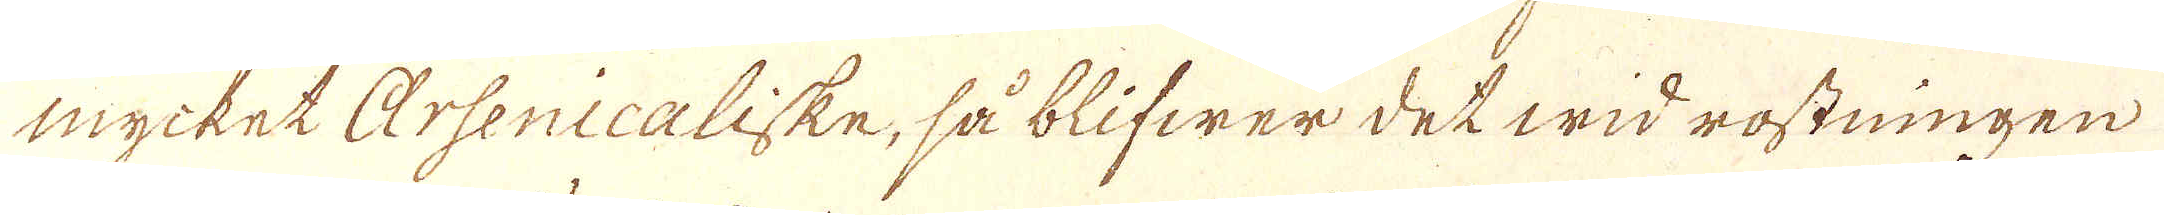mycket arsenicaliske, så blifwer det wid rostningen
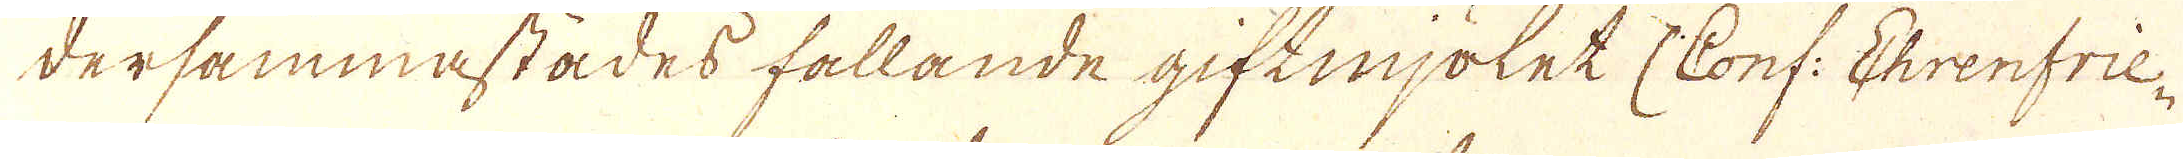dersammastädes fallande giftmjölet (Conf: Ehrenfrie-
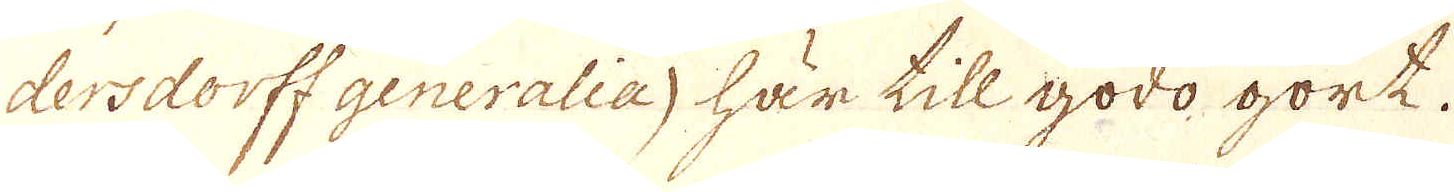dersdorff generalia) här till godo gort.
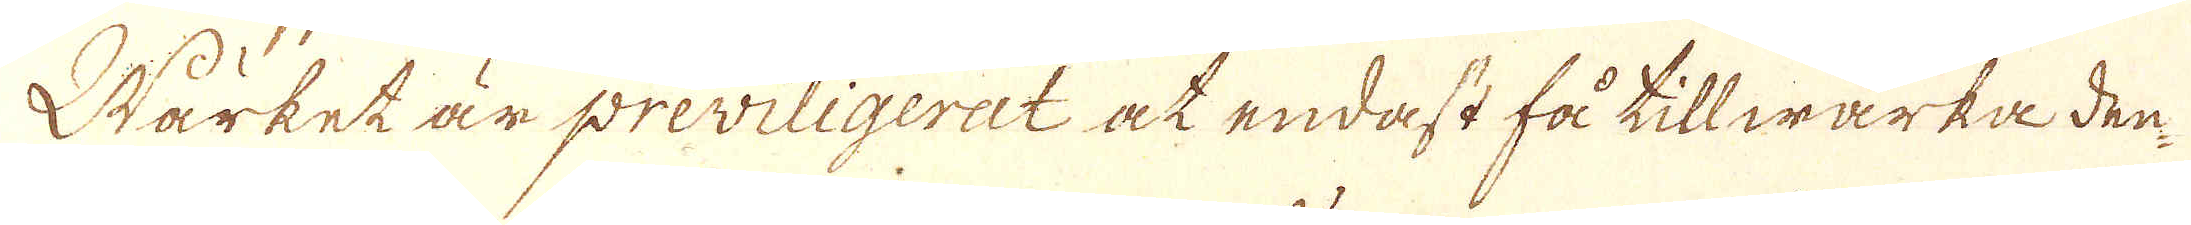Wärket är previligerat at endast få tillwärka den
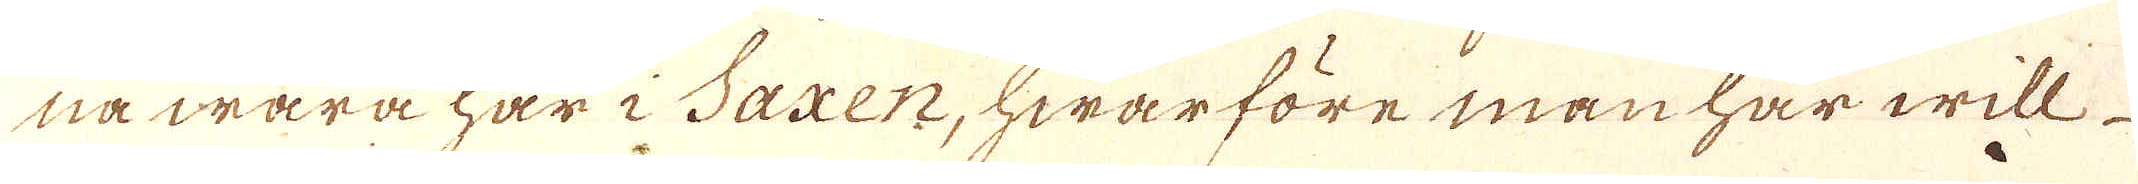nå wara har i Saxen, hwarföre man har will
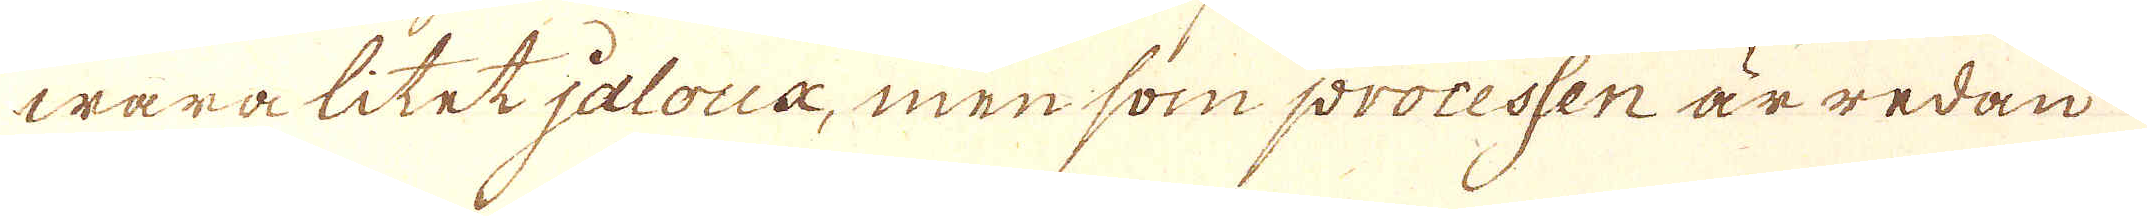wara litet jalous, men som processen är redan
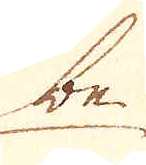be-
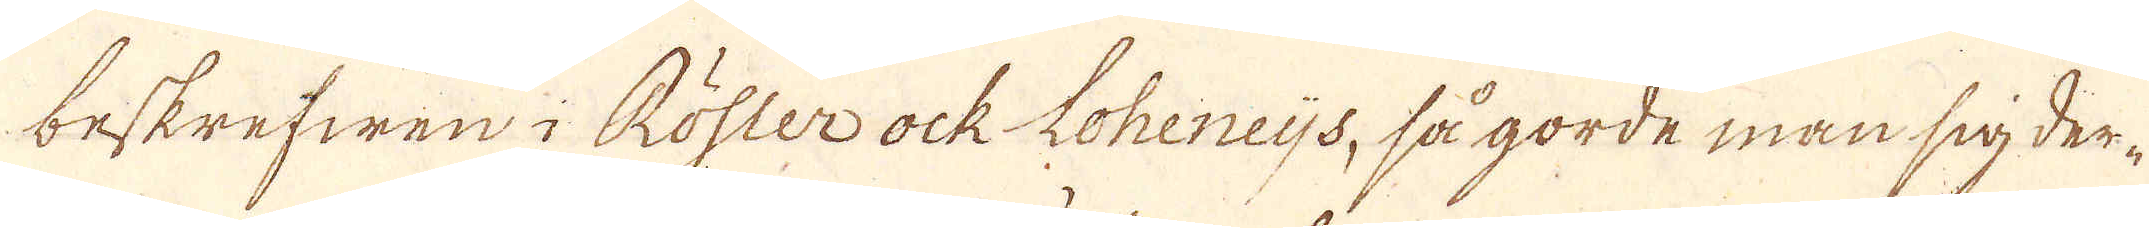beskrefwen i Röster ock Loheneijs, så gorde man sig der-
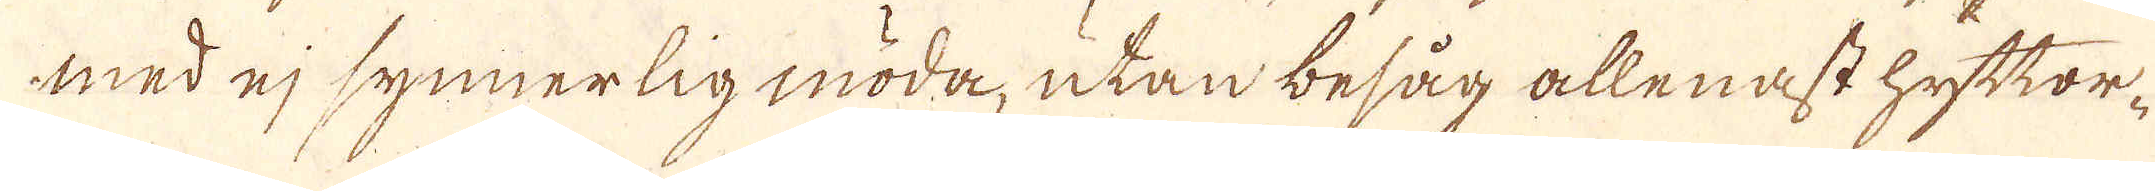med ej synnerlig möda, utan besåg allenast hyttor-
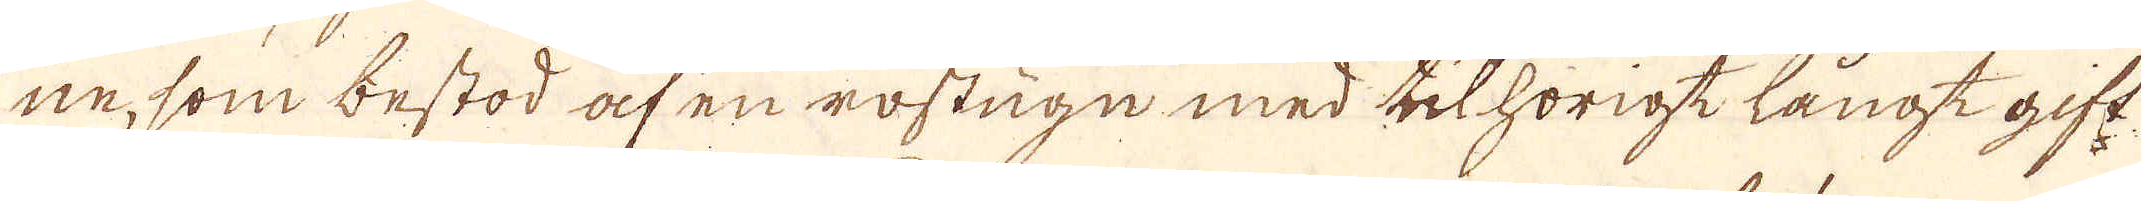ne, som bestod af en rostugn med tillhörigt långt gift-
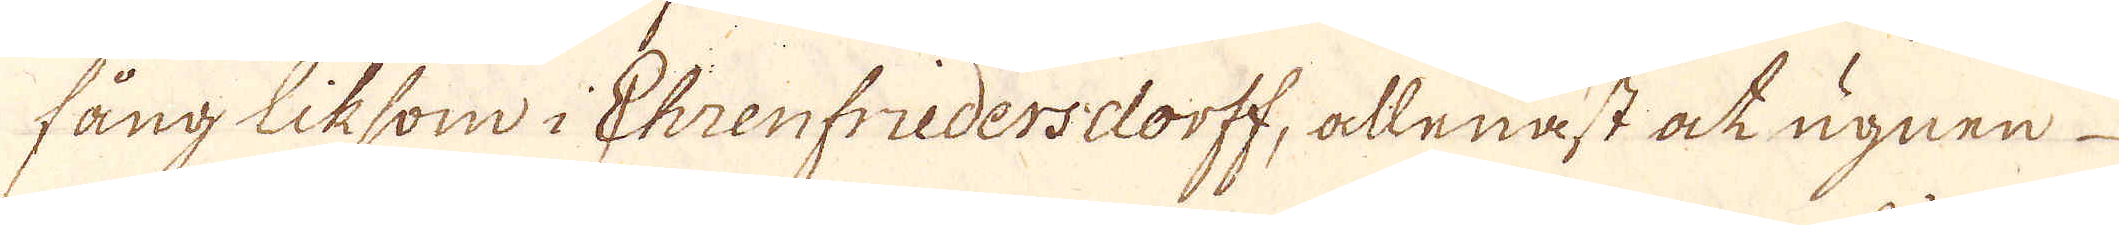fång liksom i Ehrenfriedersdorff, allenast ock ugnen
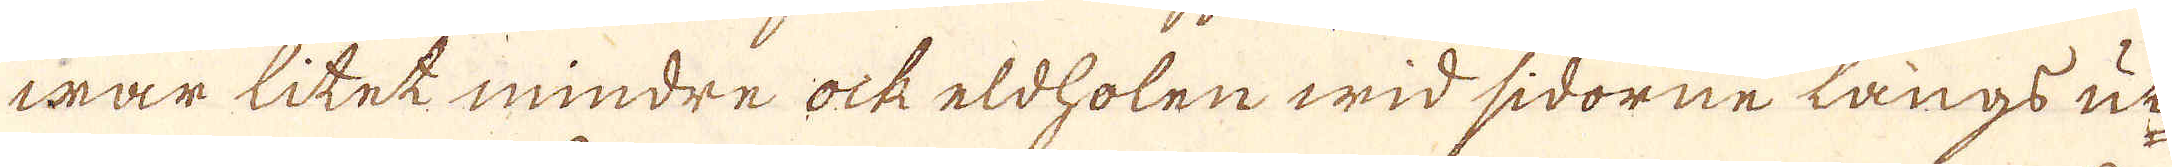war litet mindre ock eldholen wid sidorne långs uti
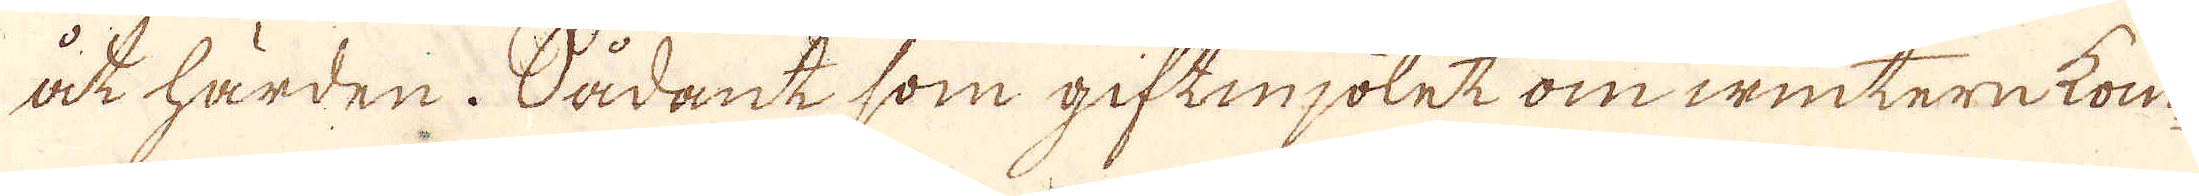åt härden. Sådant som giftmjölet om wintern kom-
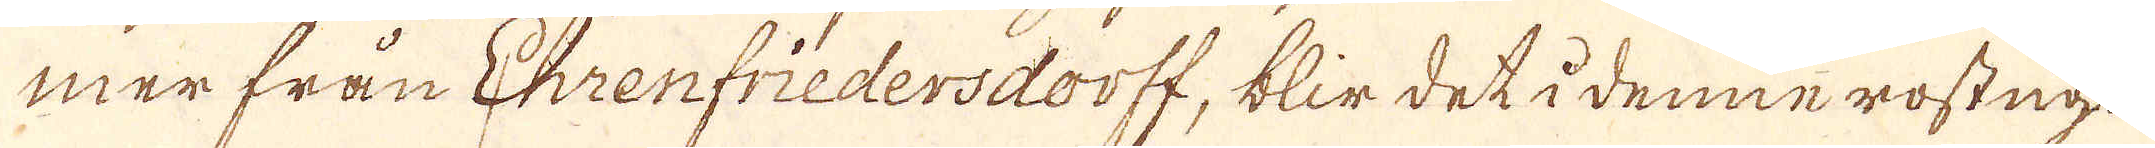mer från Ehrenfriedersdorff, blir det i denne rostugn
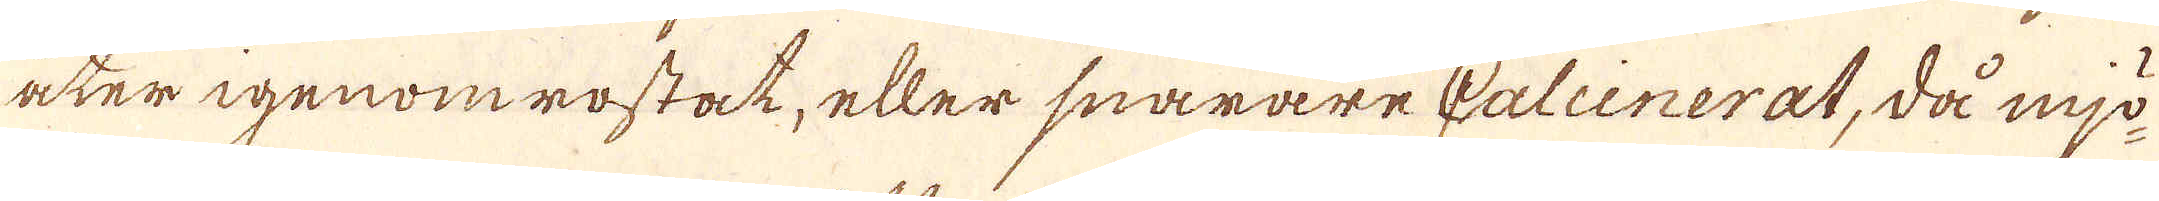åter igenom rostat, eller snarare Calcinerat, då mjö-
